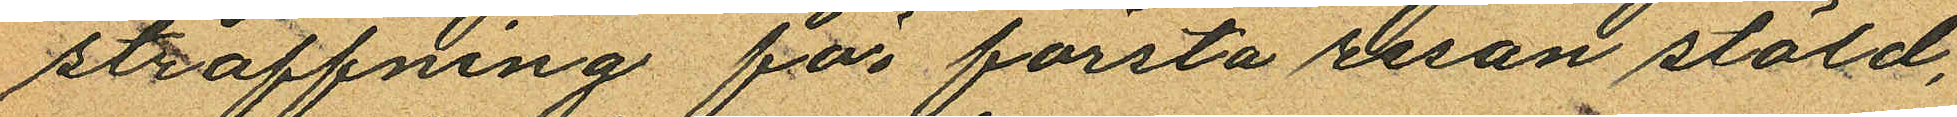straffning för första resan stöld,
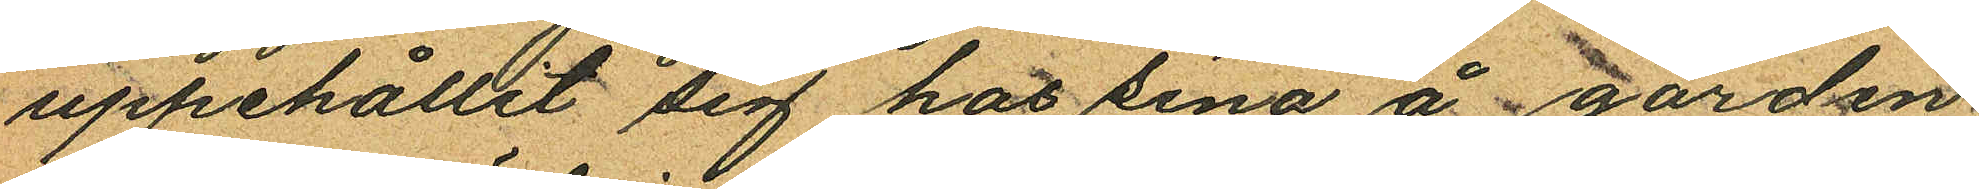uppehållit sig hos sina å gården
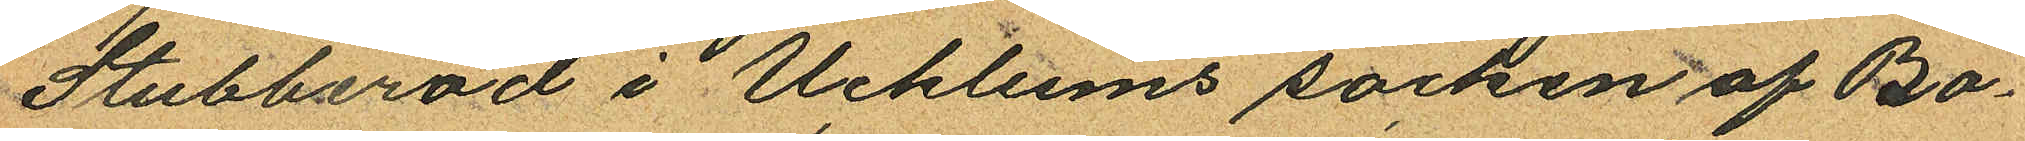Stubberöd i Ucklums socken af Bo¬
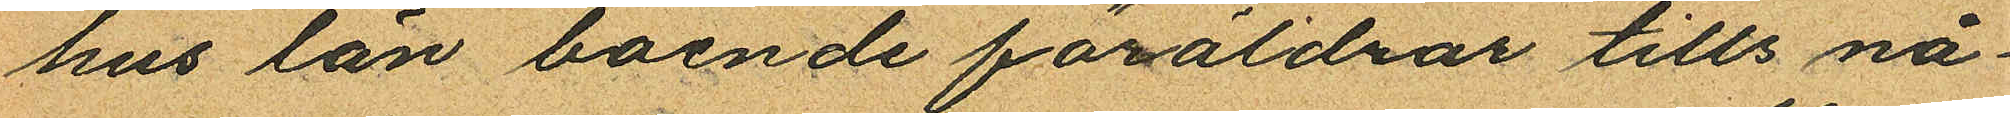hus län boende föräldrar tills nå¬
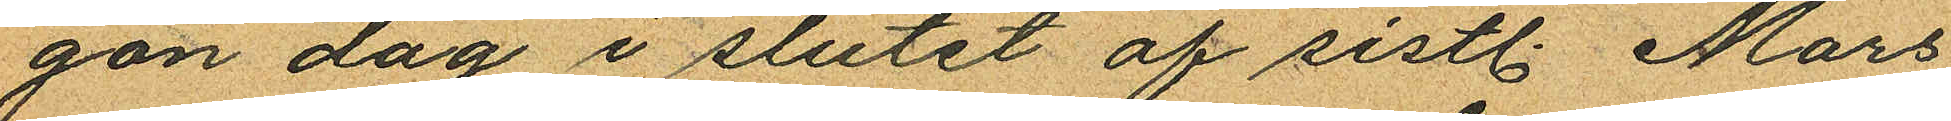gon dag i slutet af sistl. Mars
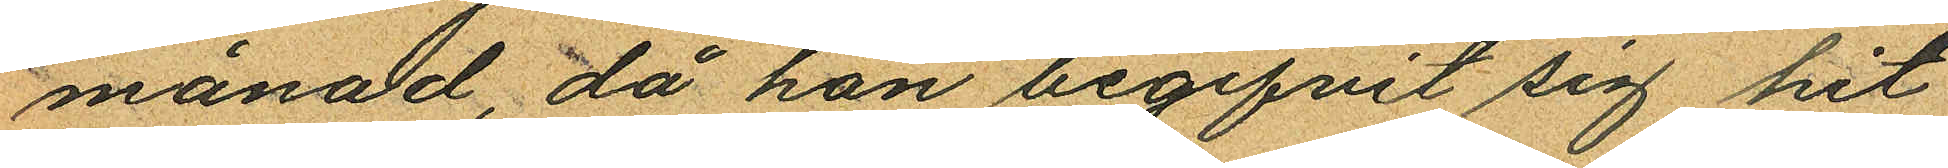månad, då hon begifvit sig hit
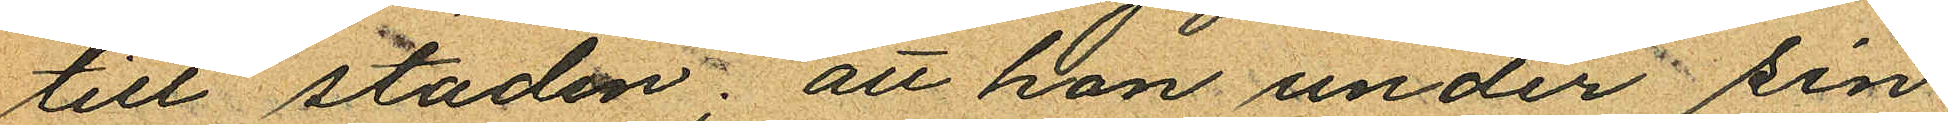till staden; att hon under sin
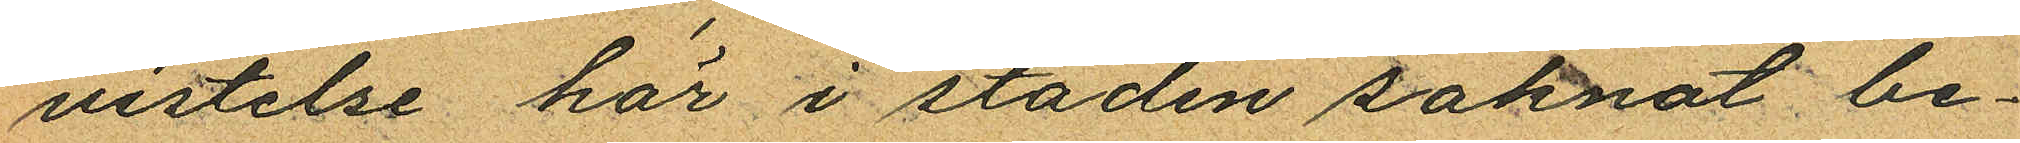vistelse här i staden saknat be¬
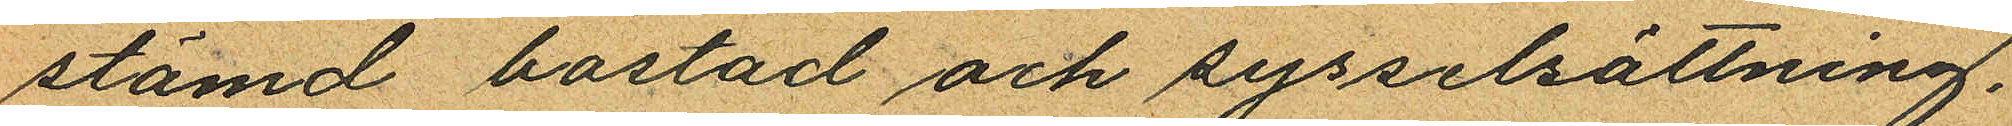stämd bostad och sysselsättning.
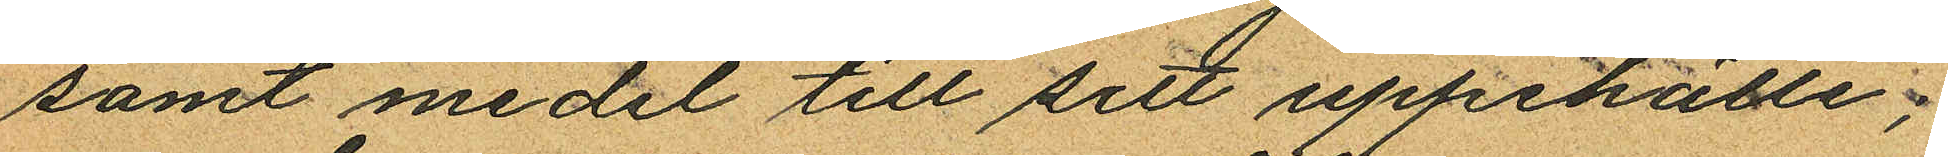samt medel till sitt uppehälle;
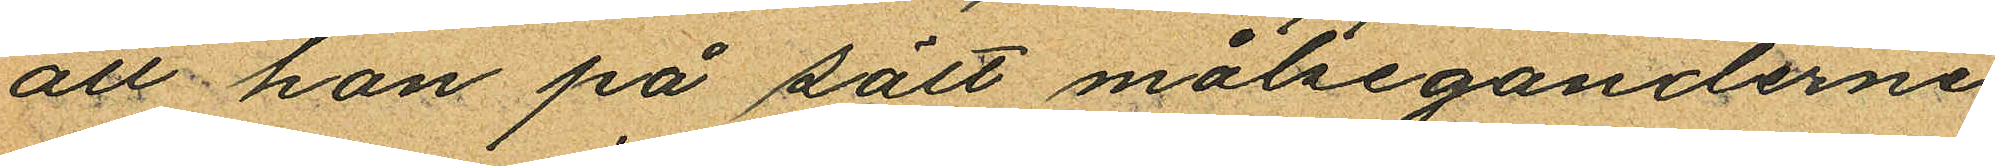att hon på sätt målseganderne
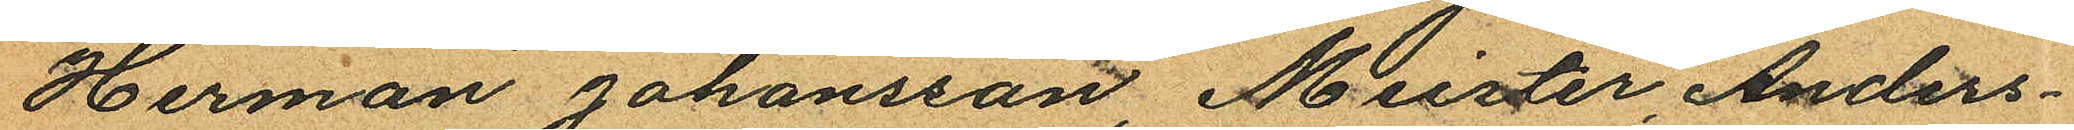Herman Johansson, Meister, Anders
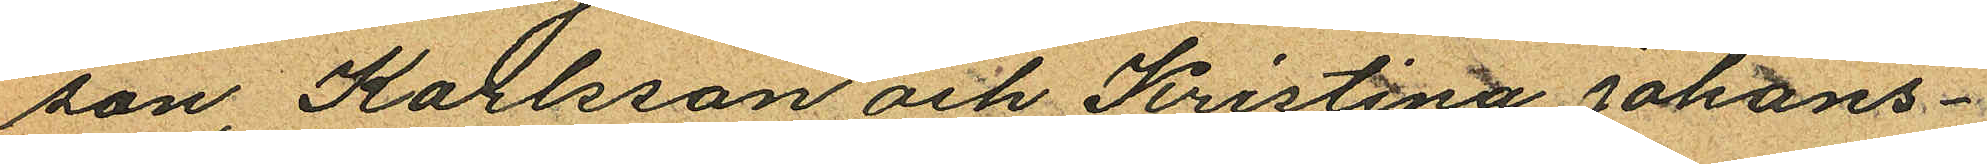son, Karlsson och Kristina Johans¬
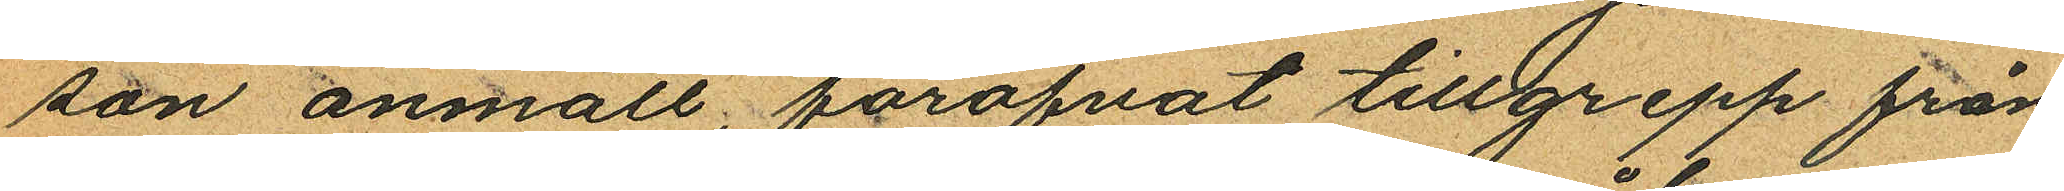son anmält, föröfvat tillgrepp från
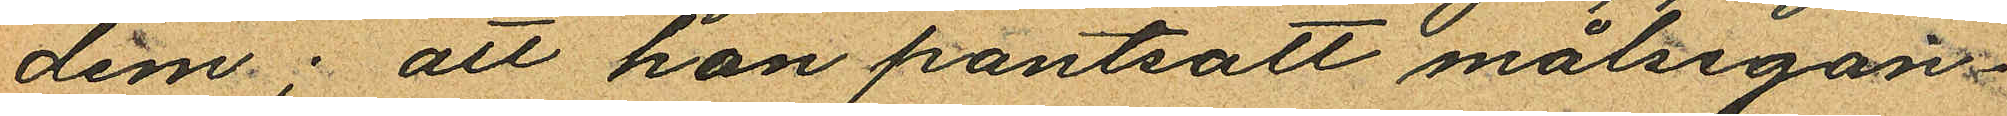dem; att hon pantsatt målsegan¬
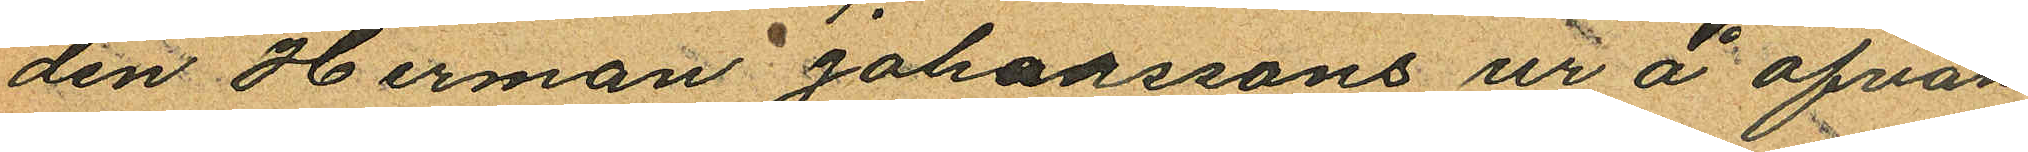den Herman Johanssons ur å ofvan
